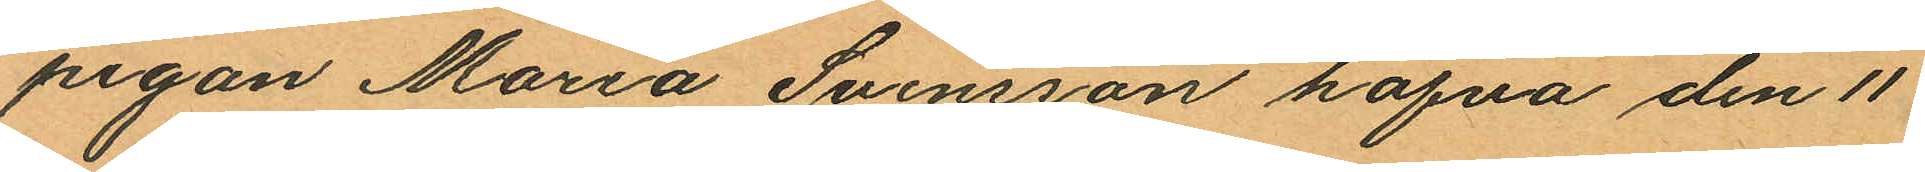pigan Maria Svensson hafva den 11
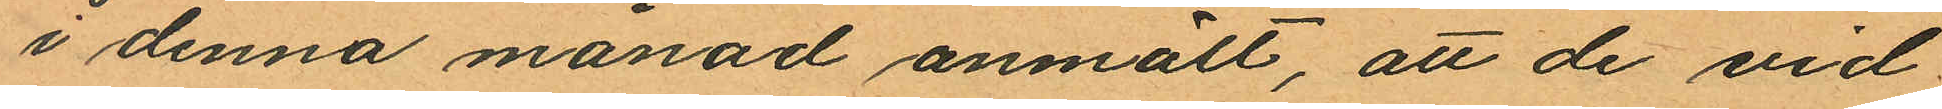i denna månad anmält, att de vid
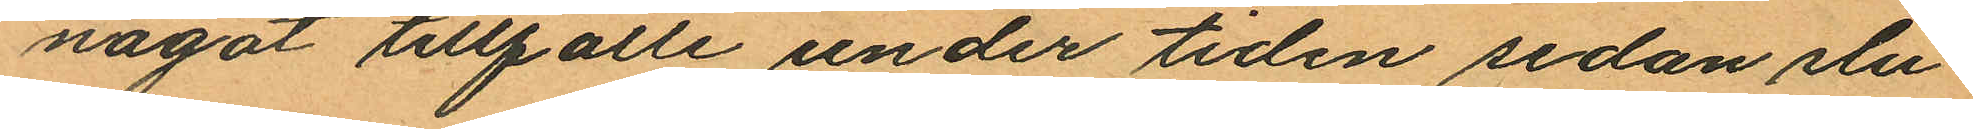något tillfälle under tiden sedan slu¬
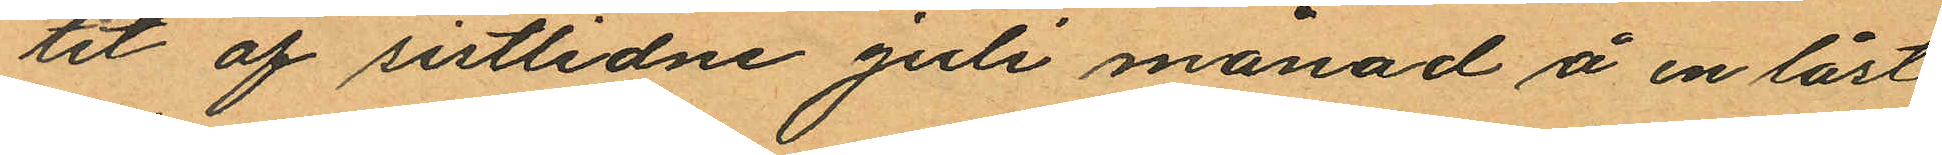tet af sistlidne Juli månad å en låst
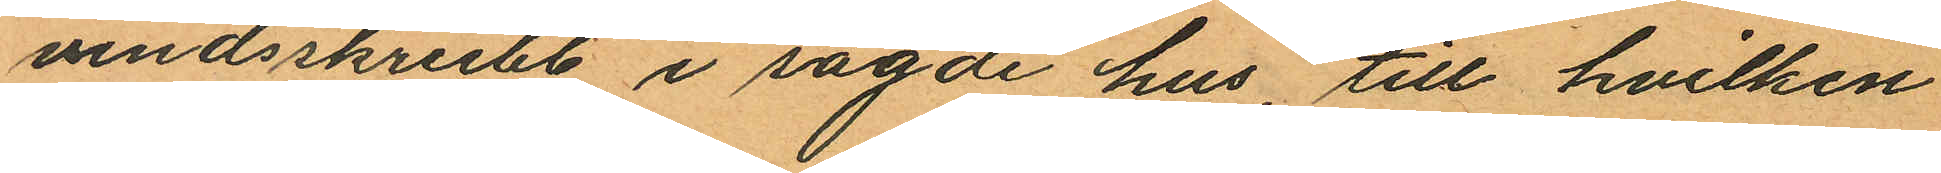vindsskrubb i sagde hus, till hvilken
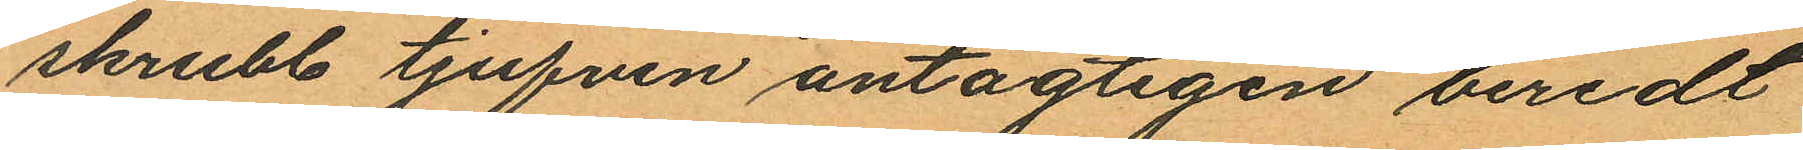skrubb tjufven antagligen beredt
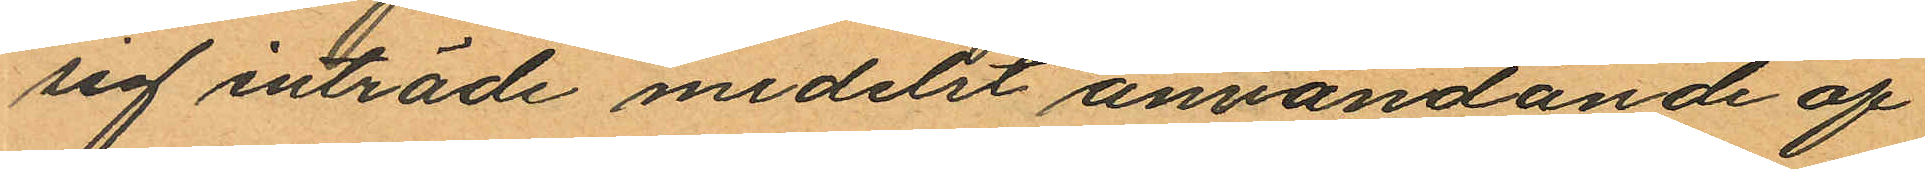sig inträde medelst användande af
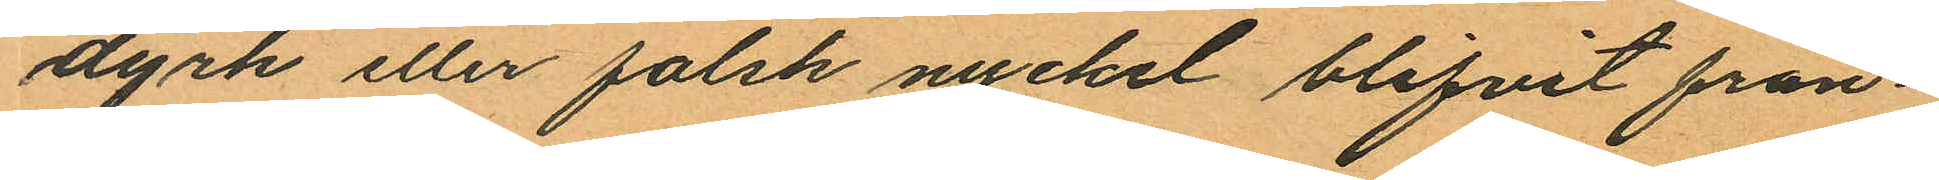dyrk eller falsk nyckel blifvit från¬
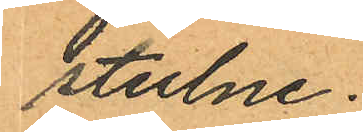stulne:
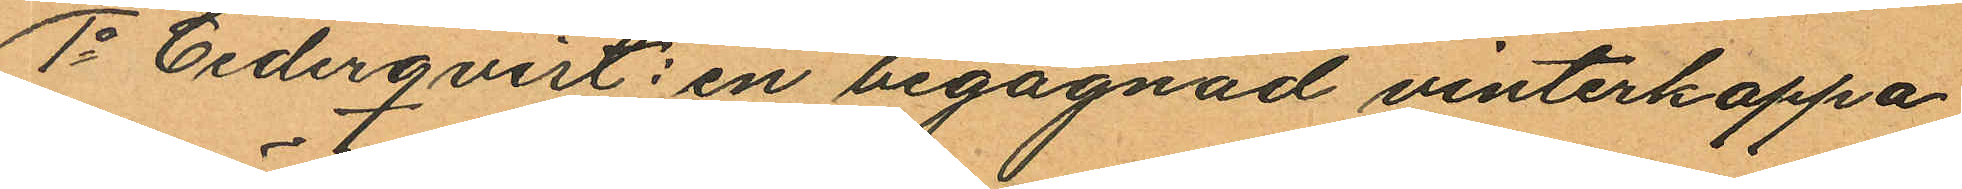1o Cederqvist: en begagnad vinterkappa
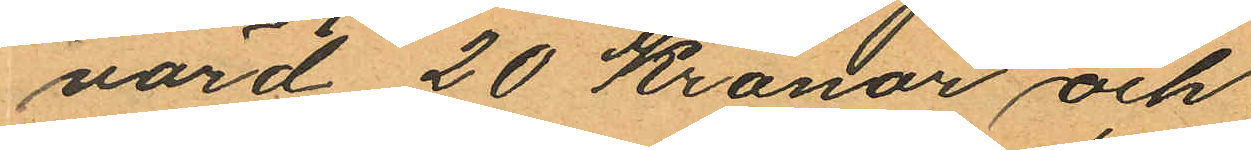värd 20 Kronor och
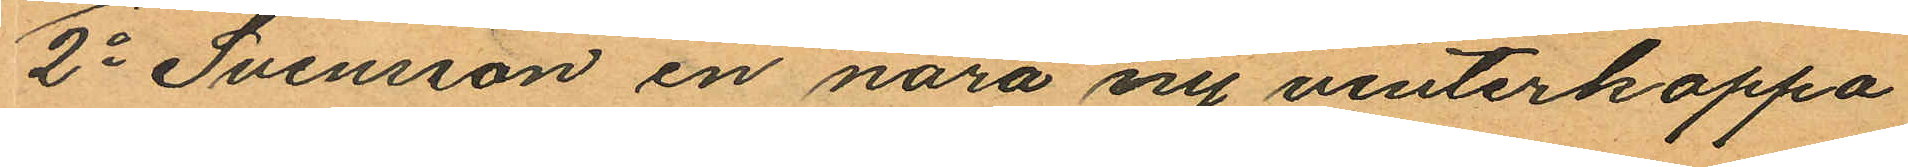2o Svensson en nära ny vinterkappa
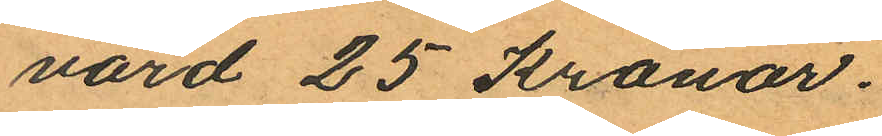värd 25 Kronor.
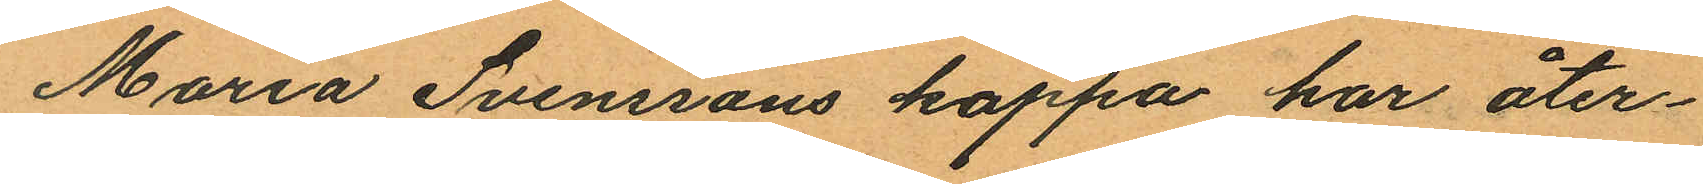Maria Svenssons kappa har åter¬
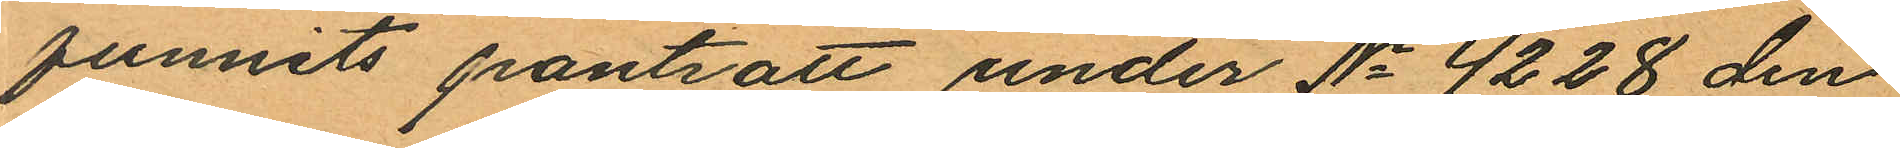funnits pantsatt under No 4228 den
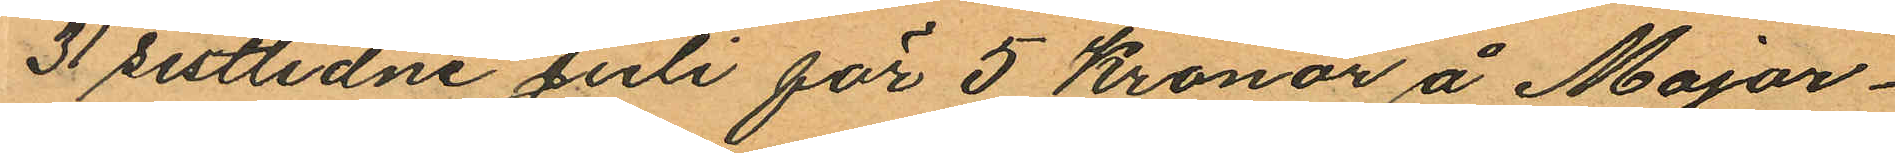31 sistlidne Juli för 5 Kronor å Major¬
